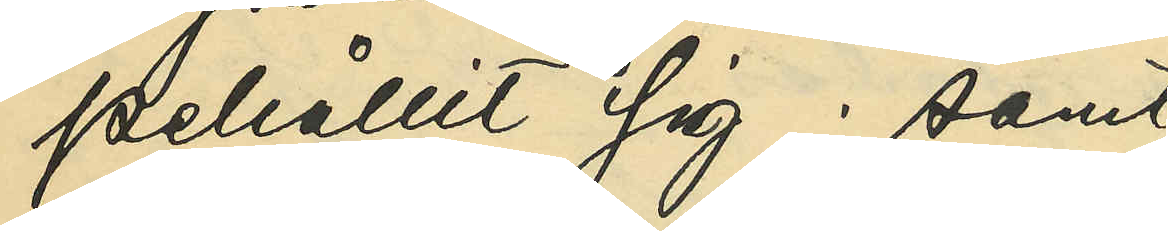pehållit sig; samt
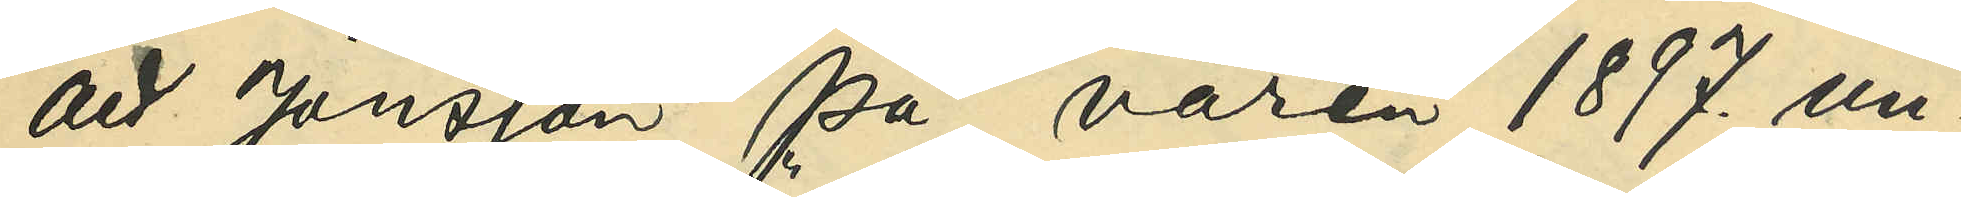att Jönsson på våren 1897. un¬
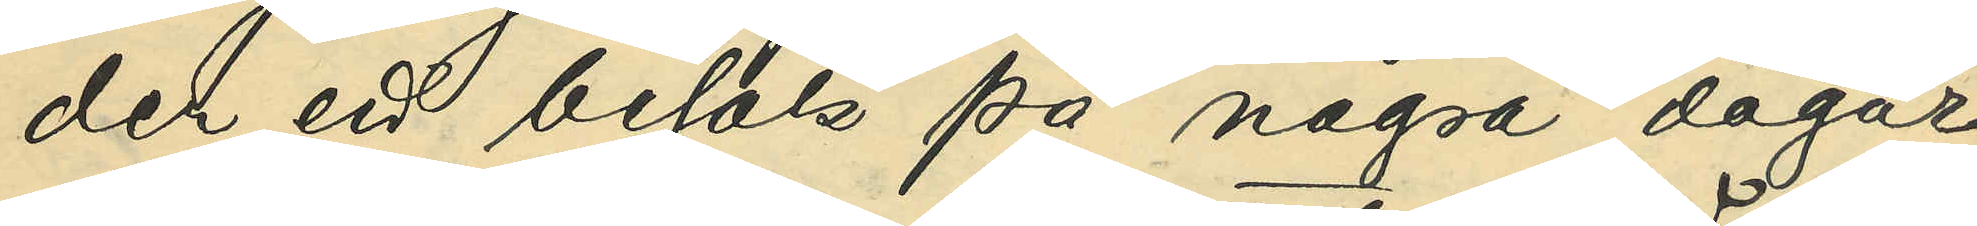der ett besök på några dagar
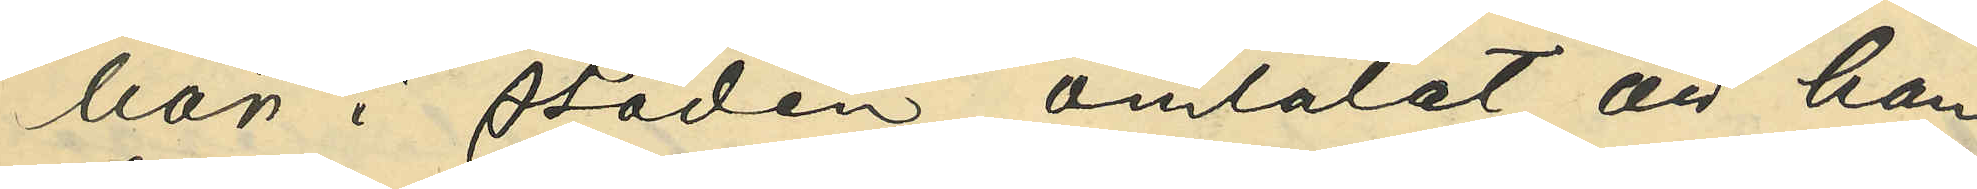här i staden omtalat, att han
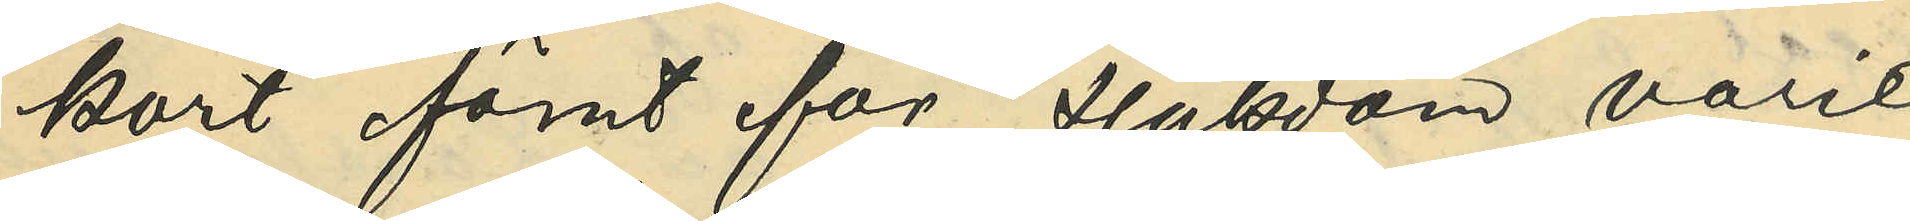kort förut för sjukdom varit
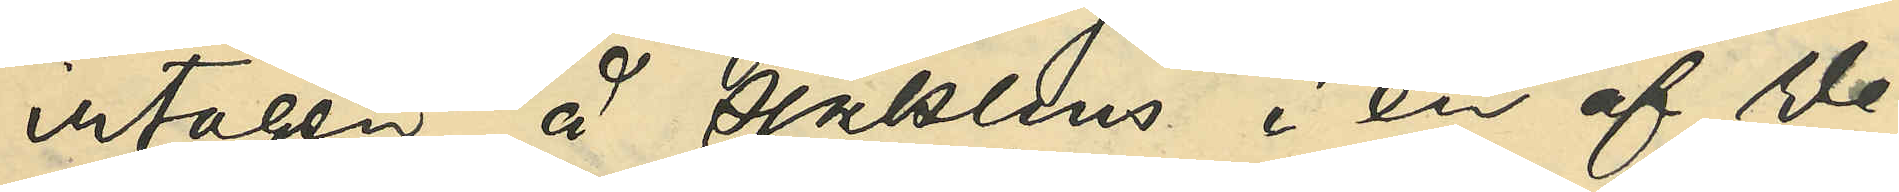intagen å sjukhus i en af We¬
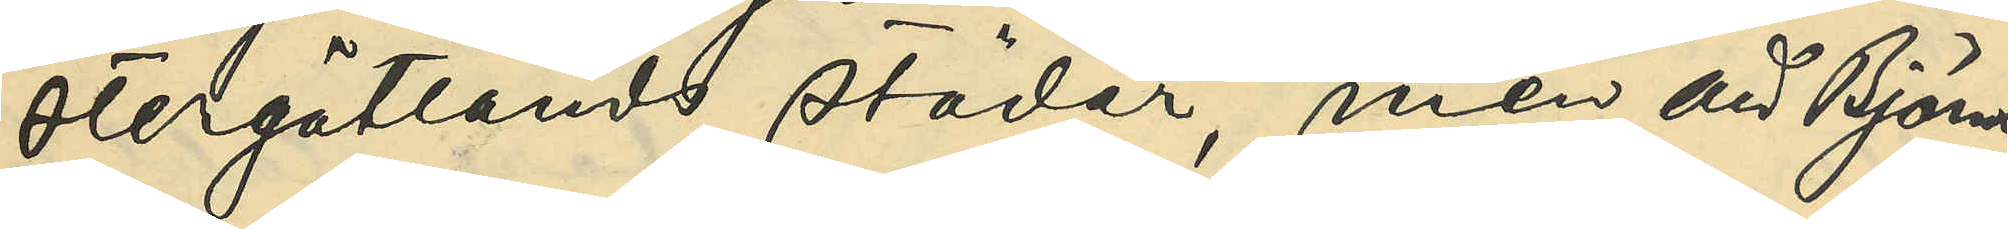stergötlands städer, men att Bjöns¬
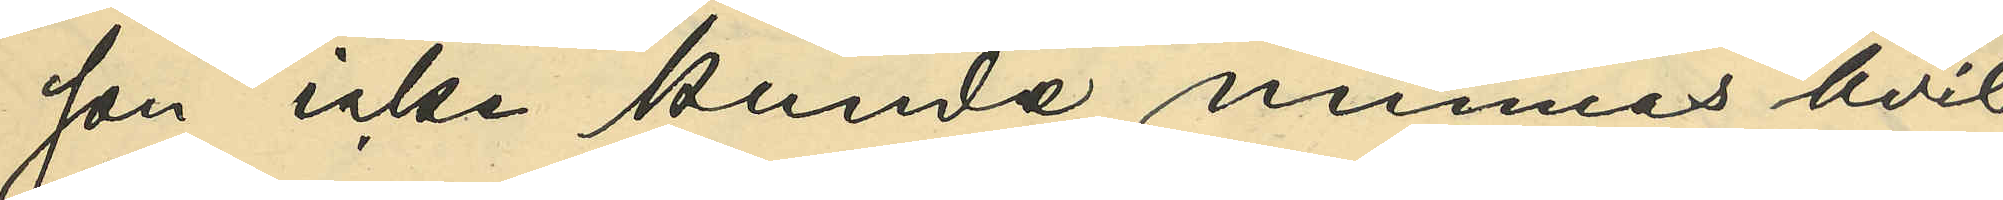son icke kunde minnas hvil¬
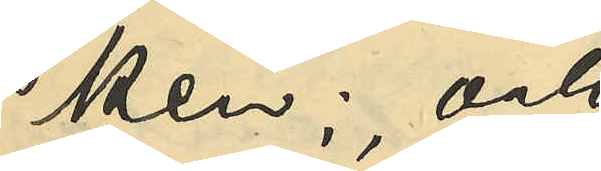ken; och
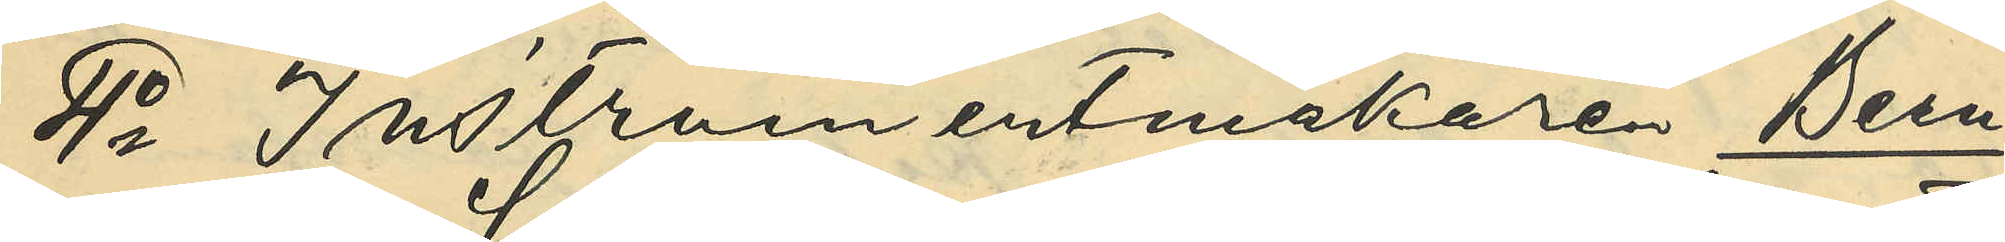4o Instrumentmakare Bern¬
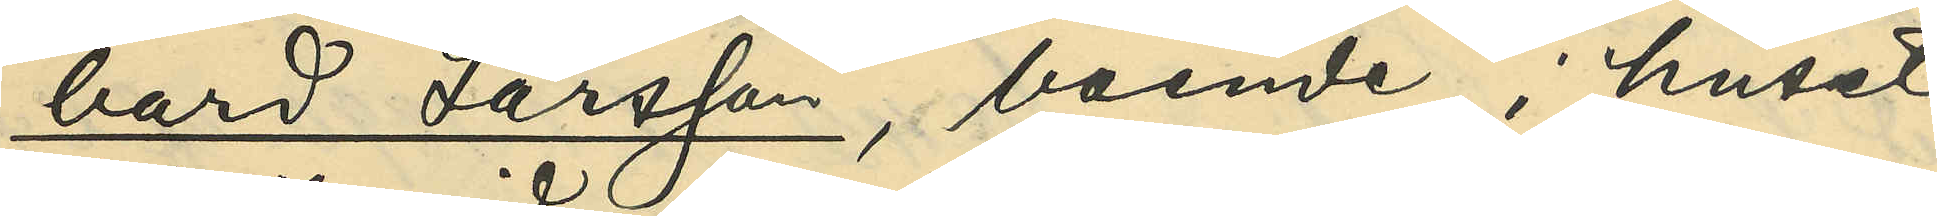hard Larsson, boende i huset
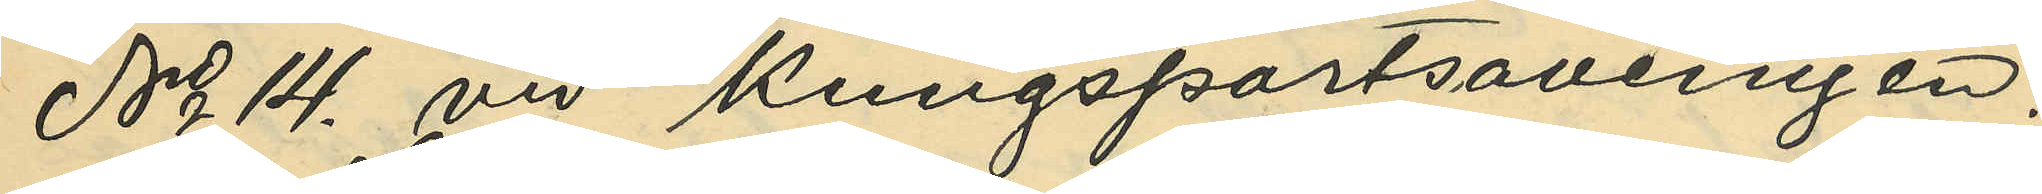No 14. vid Kungsportsavenyen:
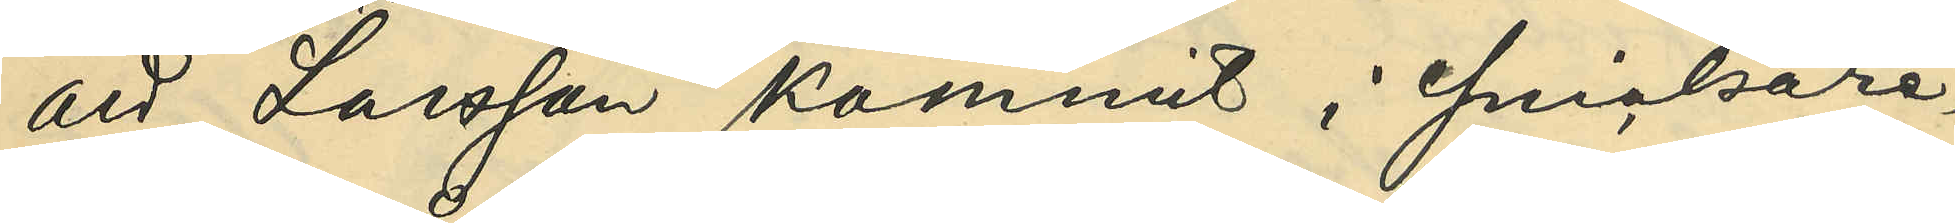att Larsson kommit i snickare¬
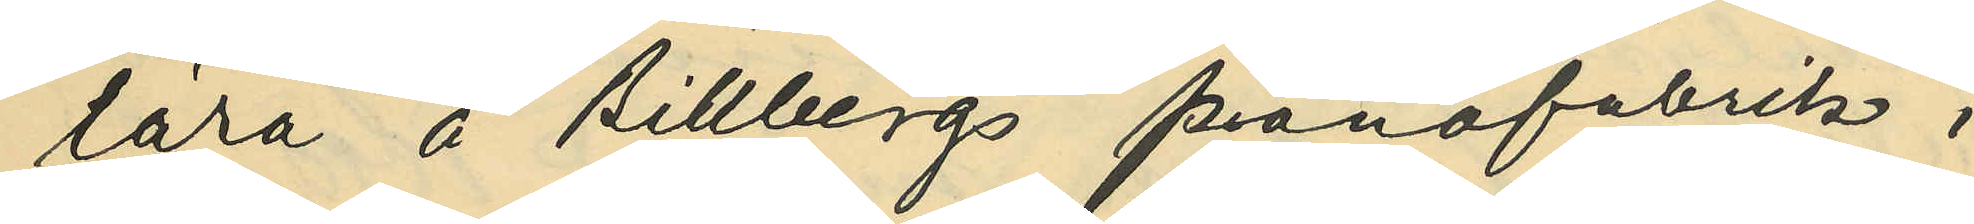lära å Billbergs pianofabrik i
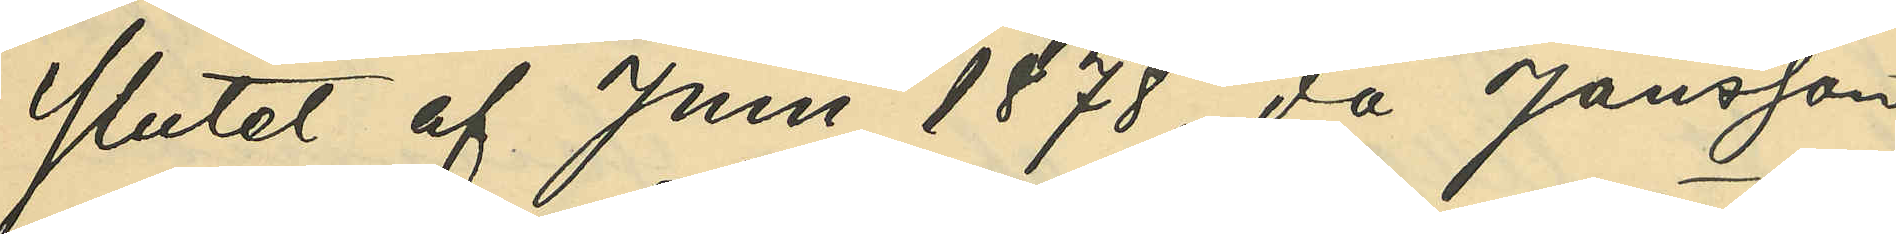slutet af Juni 1878, då Jönsson
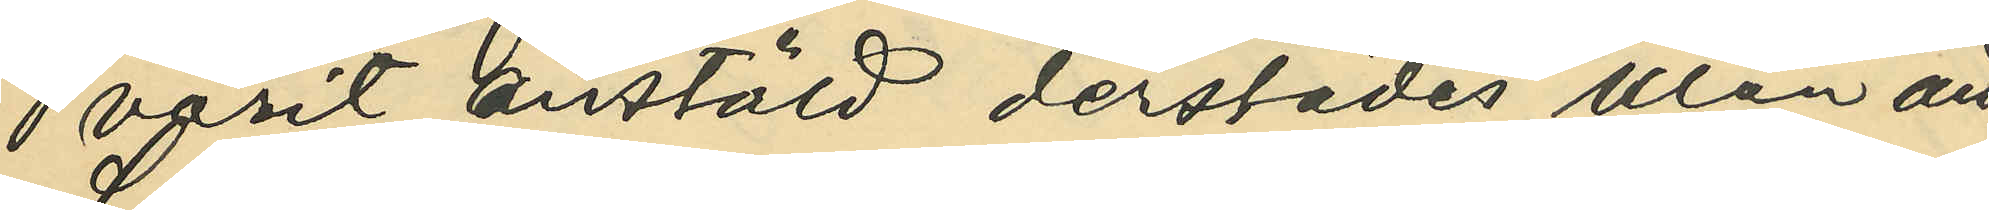varit anstäld derstädes utan att
